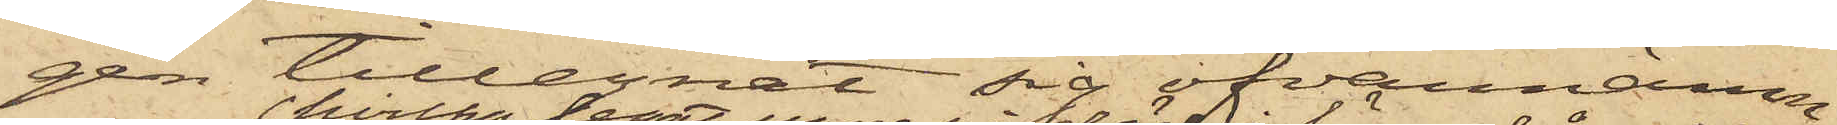gen tillegnat sig ofvannämn¬
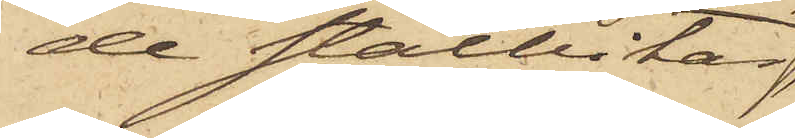de stålbitar,
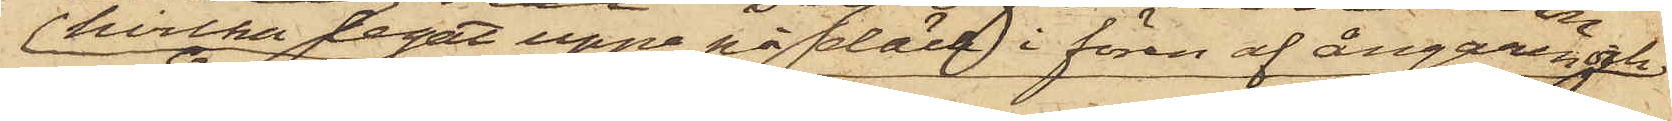hvilka legat uppe på däck i fören af ångaren och
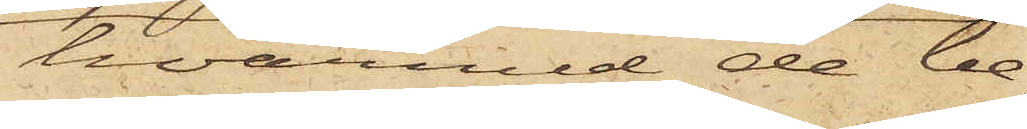hvarmed de be¬
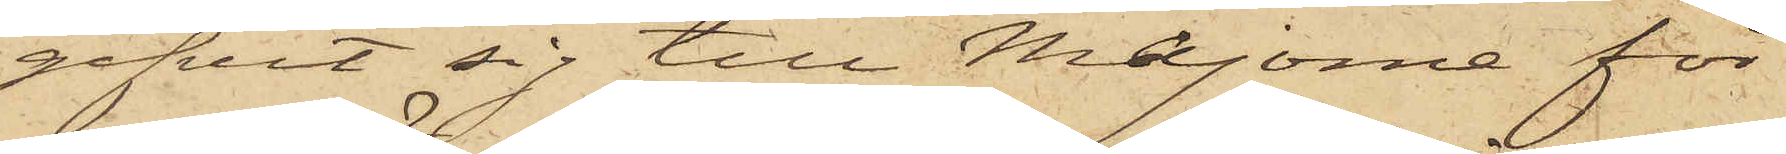gifvit sig till Majorna för
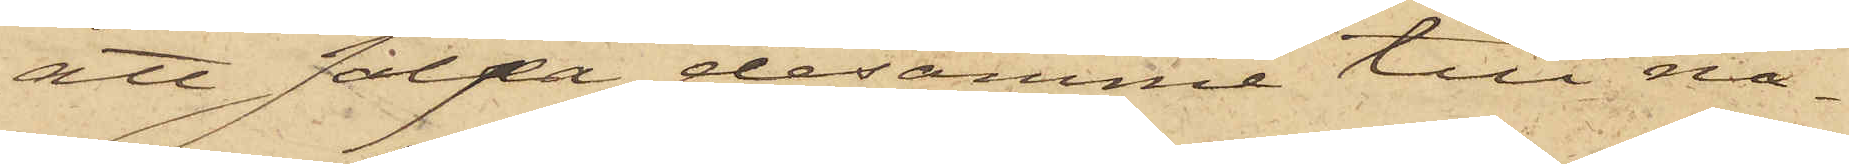att sälja desamme till nå¬
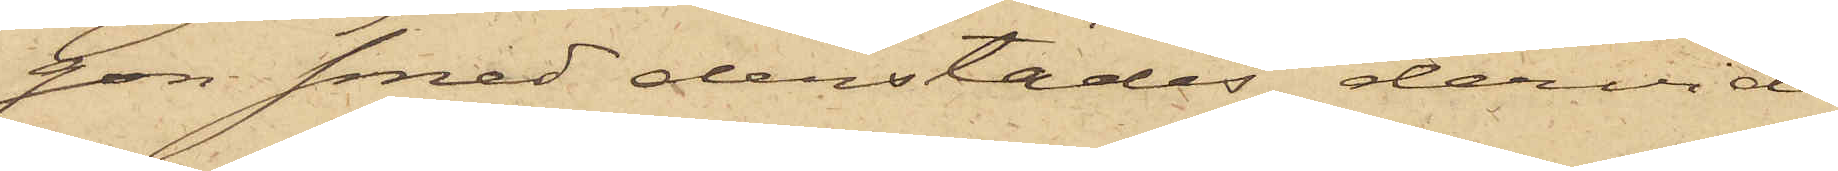ton smed derstädes, dervid
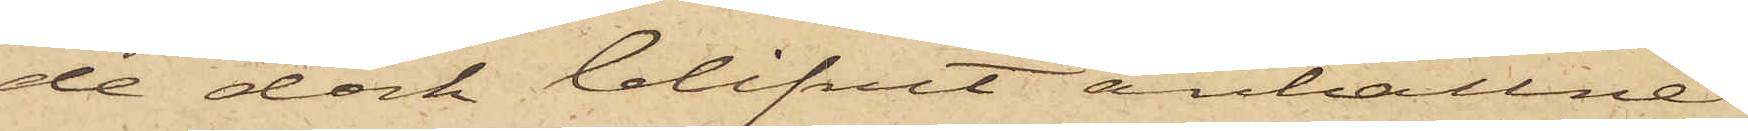de dock blifvit anhållne.
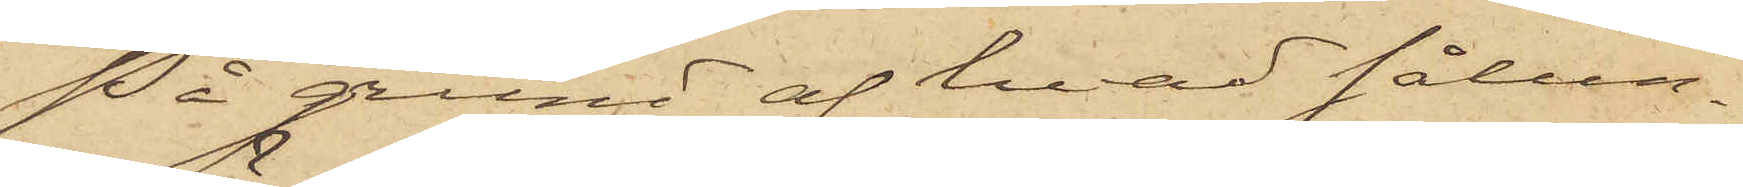På grund af hvad sålun¬
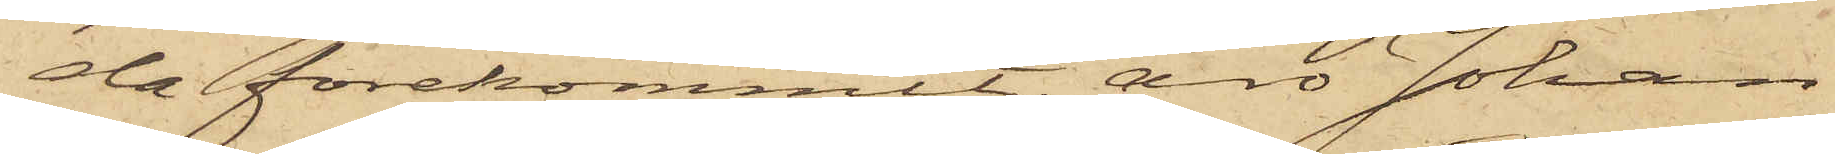da förekommit, äro Johan
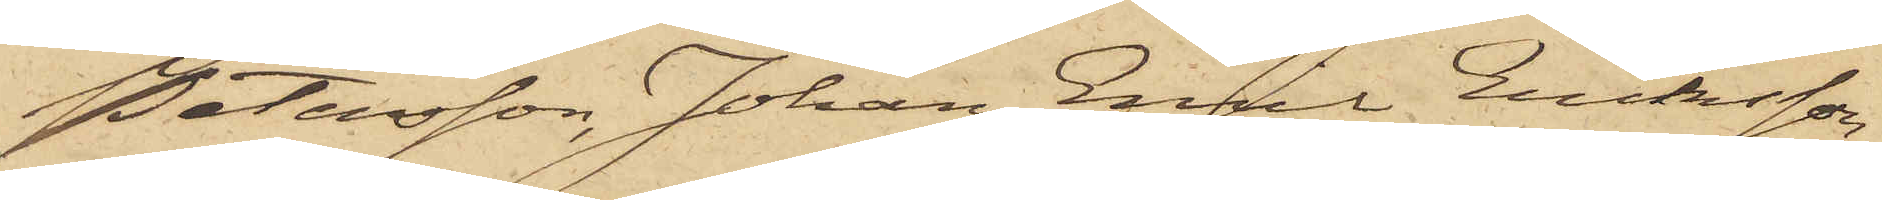Petersson, Johan Emil Eriksson
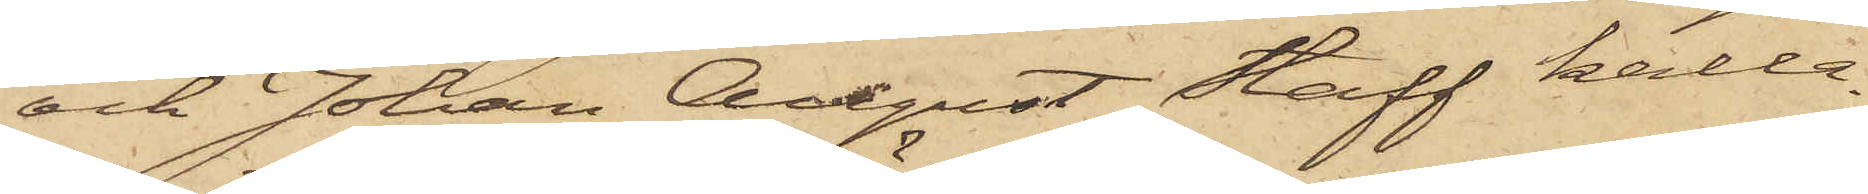och Johan August Staff kalla¬
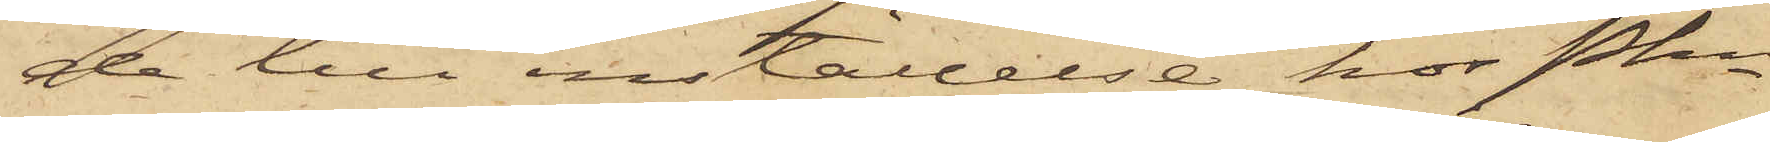de till inställelse hos Pkn
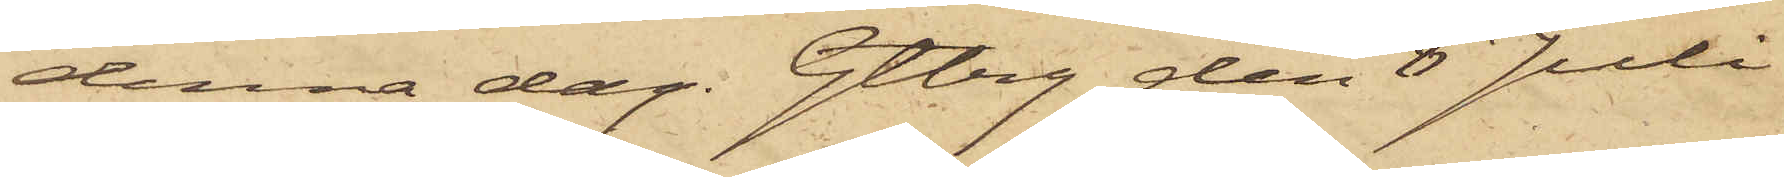denna dag. Gtbrg den 8 Juli
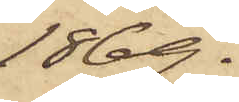1869.
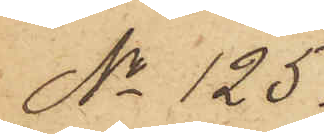No 125.
